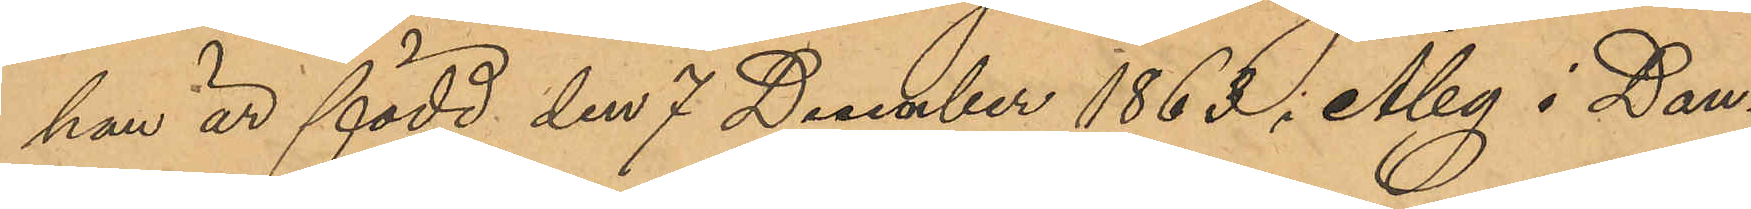han är född den 7 December 1863 i Åby i Dan¬
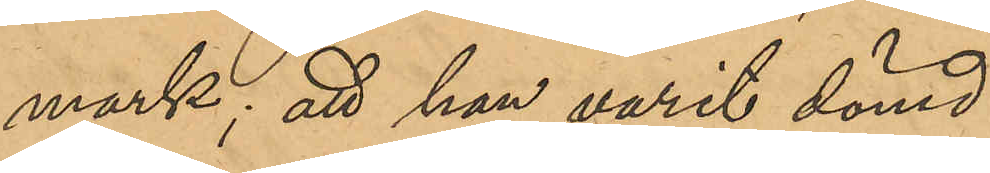mark; att han varit dömd:
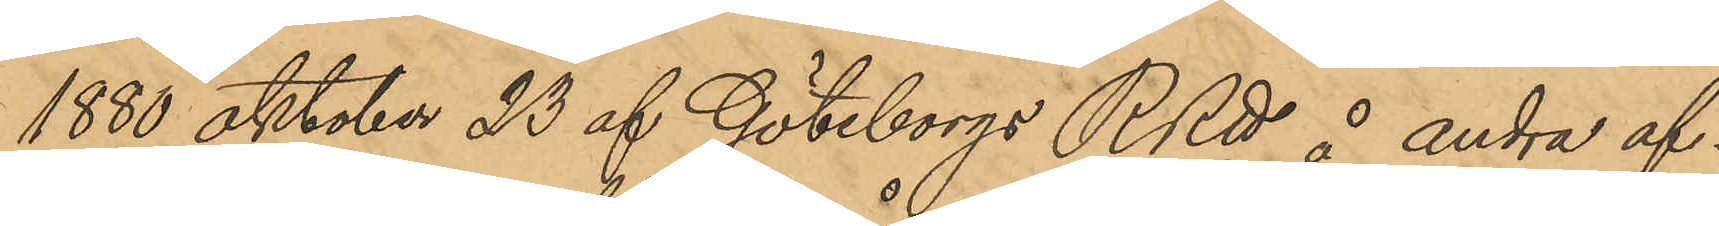1880 oktober 23 af Göteborgs RRtt å andra af¬
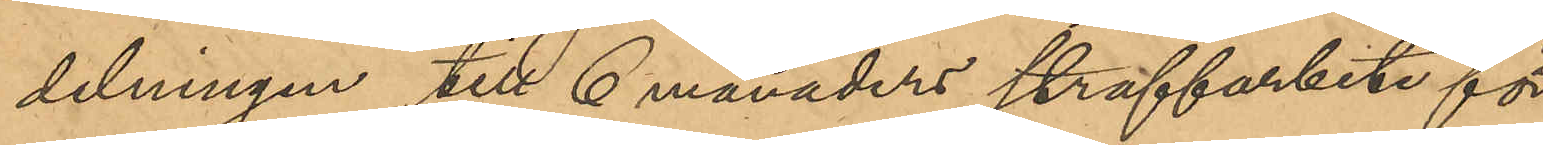delningen till 6 månaders straffarbete för
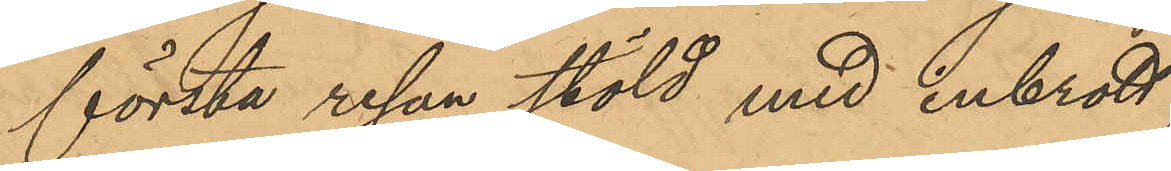första resan stöld med inbrott;
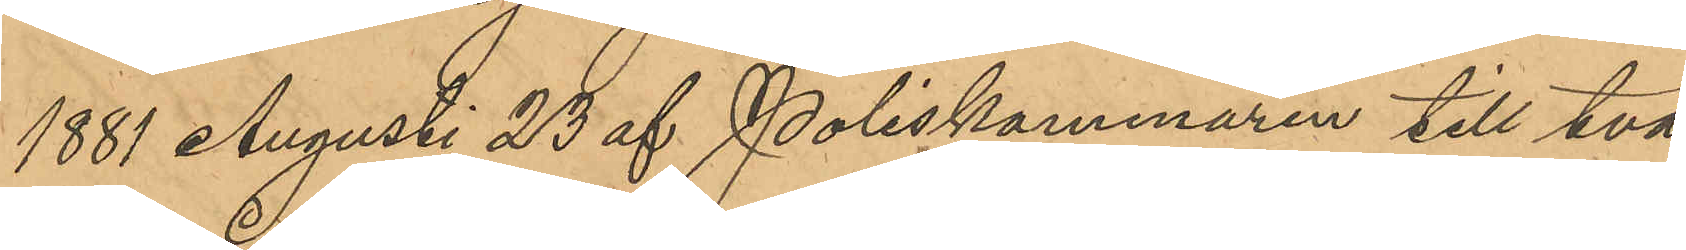1881 Augusti 23 af Poliskammaren till två
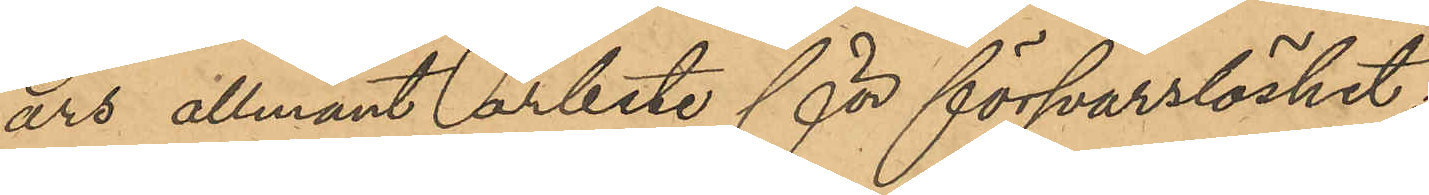års allmänt arbete för försvarslöshet;
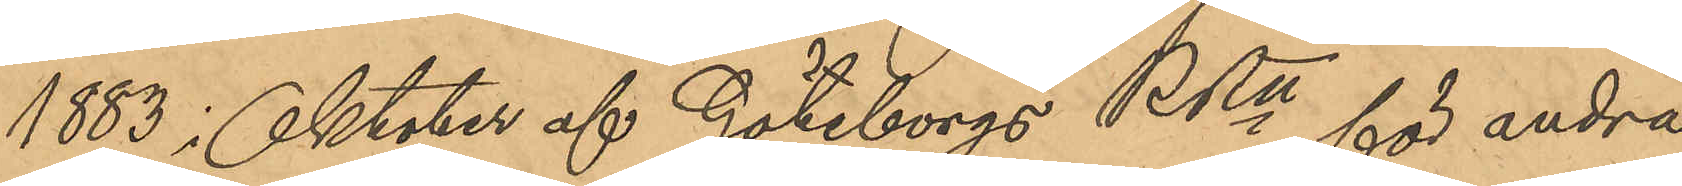1883 i Oktober af Göteborgs RRtt för andra
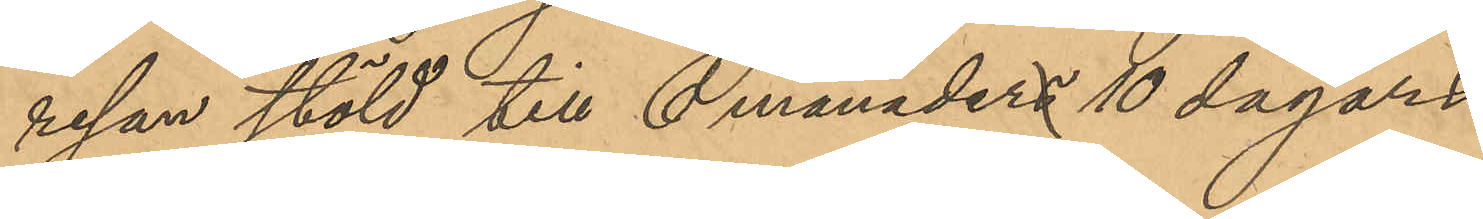resan stöld till 6 månaders 10 dagars
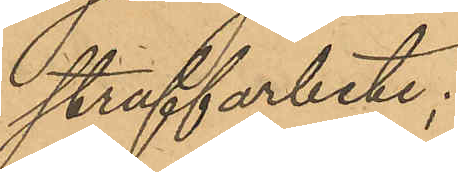straffarbete;
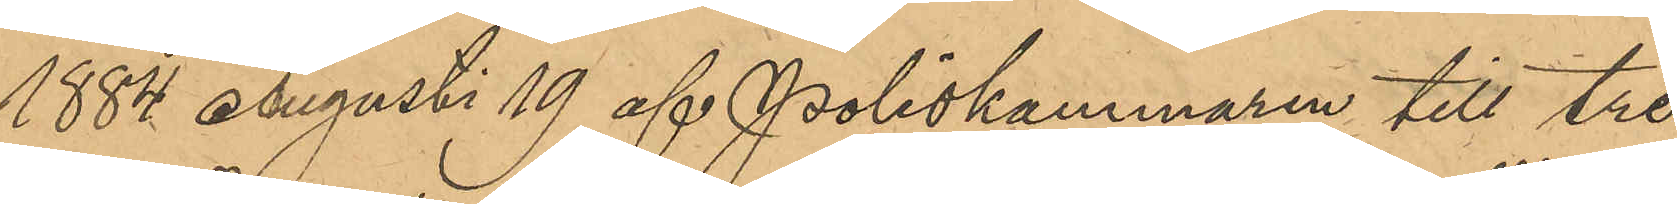1884 Augusti 19 af Poliskammaren till tre
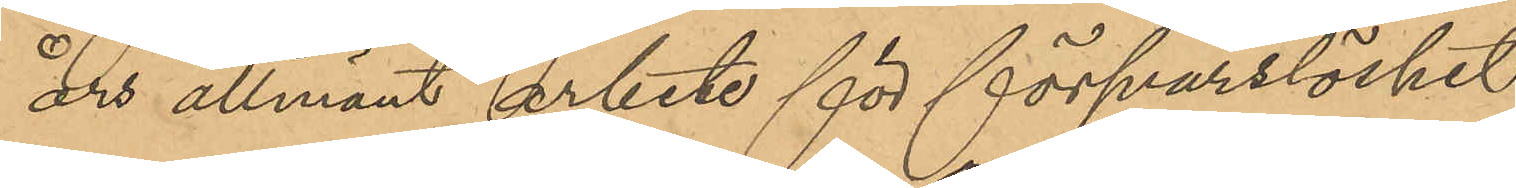års allmänt arbete för försvarslöshet;
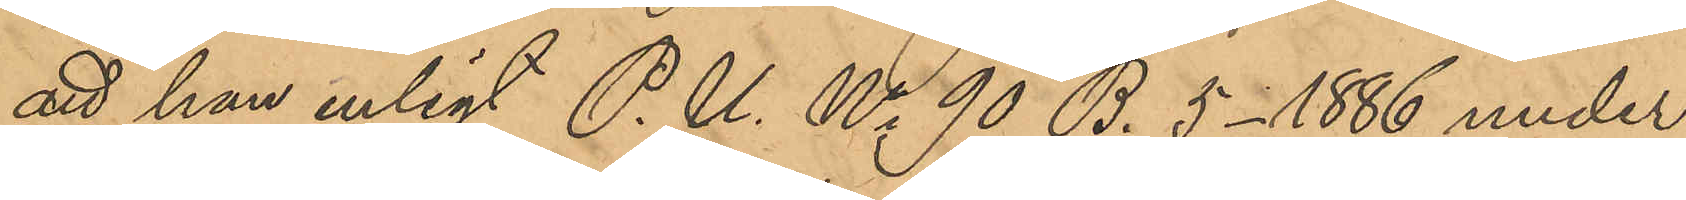att han enligt P. U. No 90 B. 5-1886 under
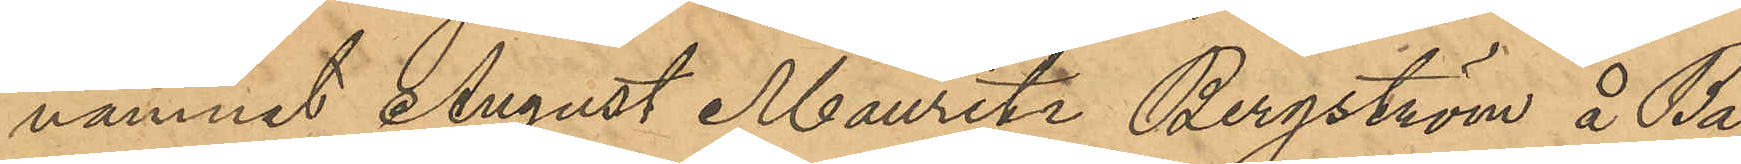namnet August Mauritz Bergström å Ba¬
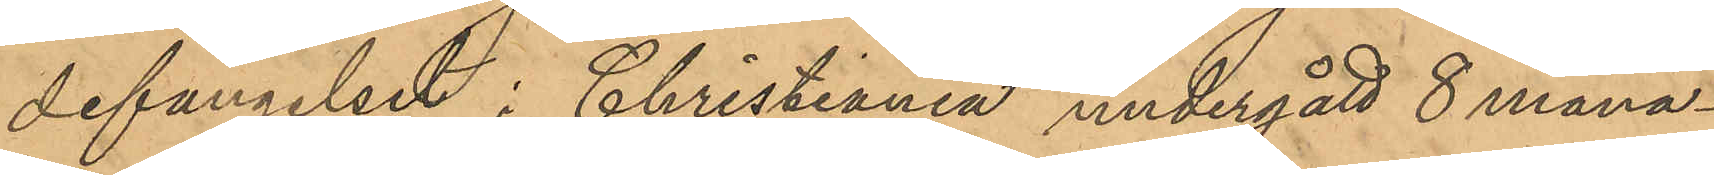defängelset i Christiania undergått 8 måna¬
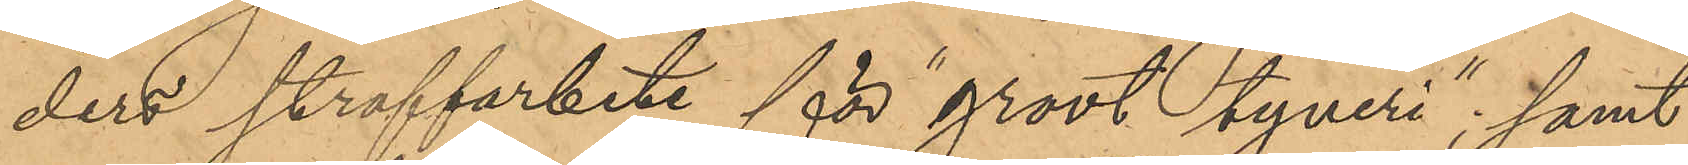ders straffarbete för "grovt tjuveri"; samt
